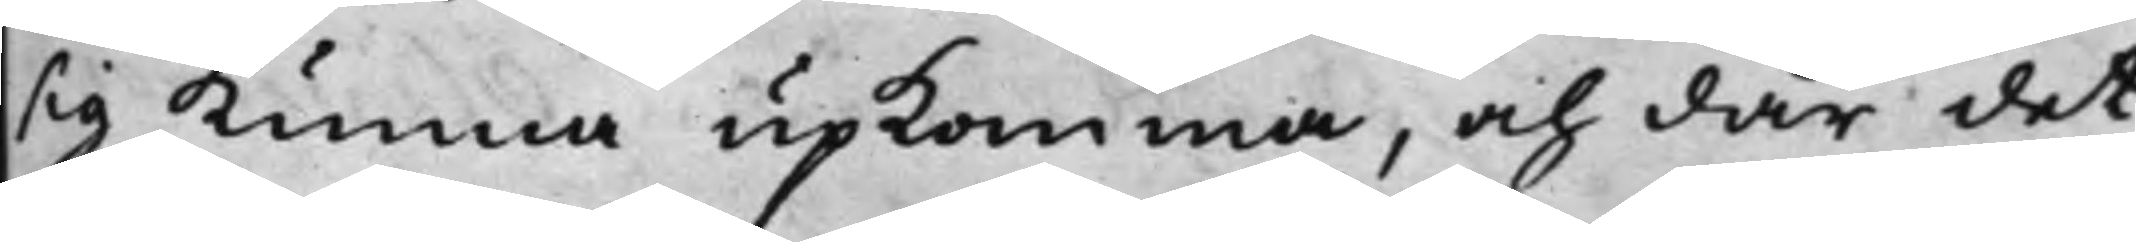sig kunna upkomma, och där det
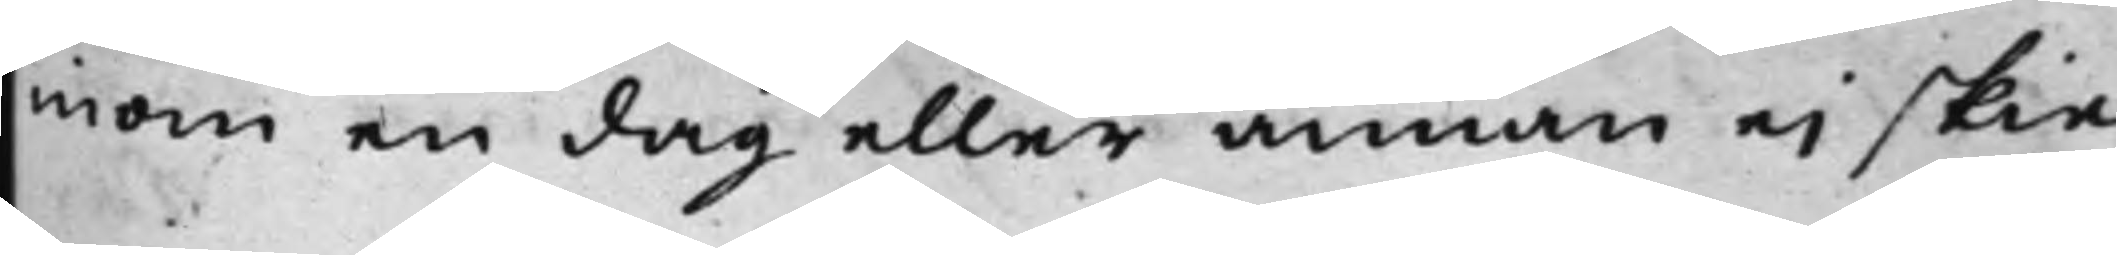nom en dag eller annan ei skie
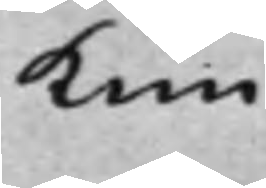kun¬
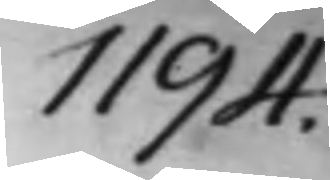1194.
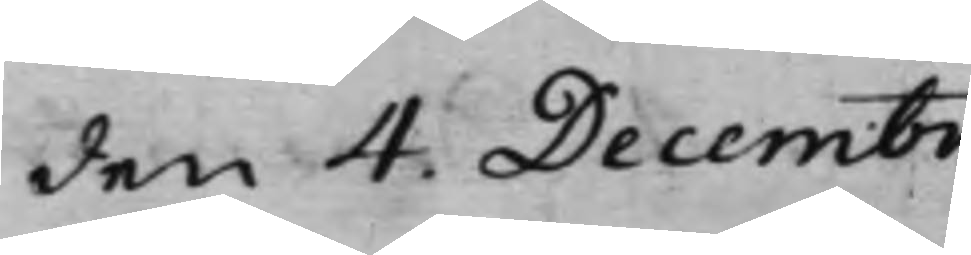den 4. Decembr.
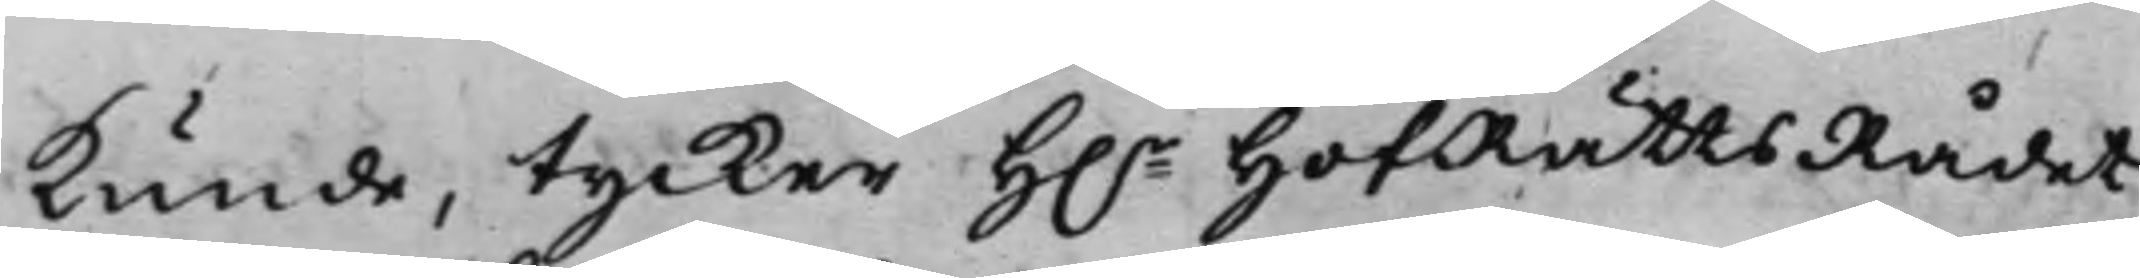kunde, tycker H.r HofRättsRådet
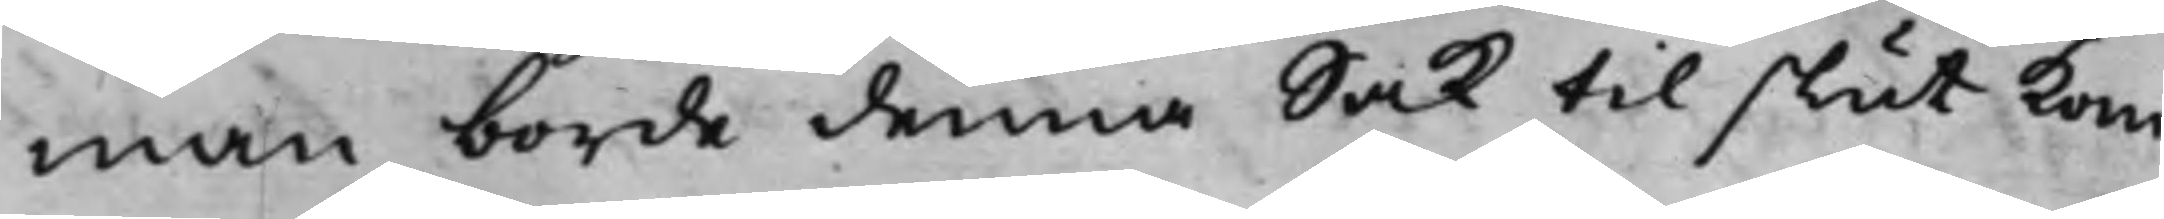man borde denna Sak till slut kom¬
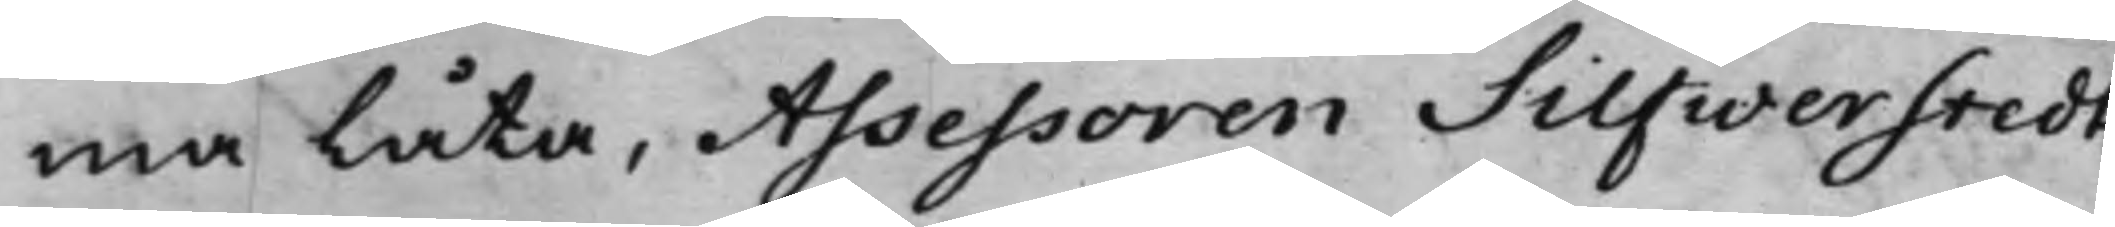ma låta, Assessoren Silfwerstedt
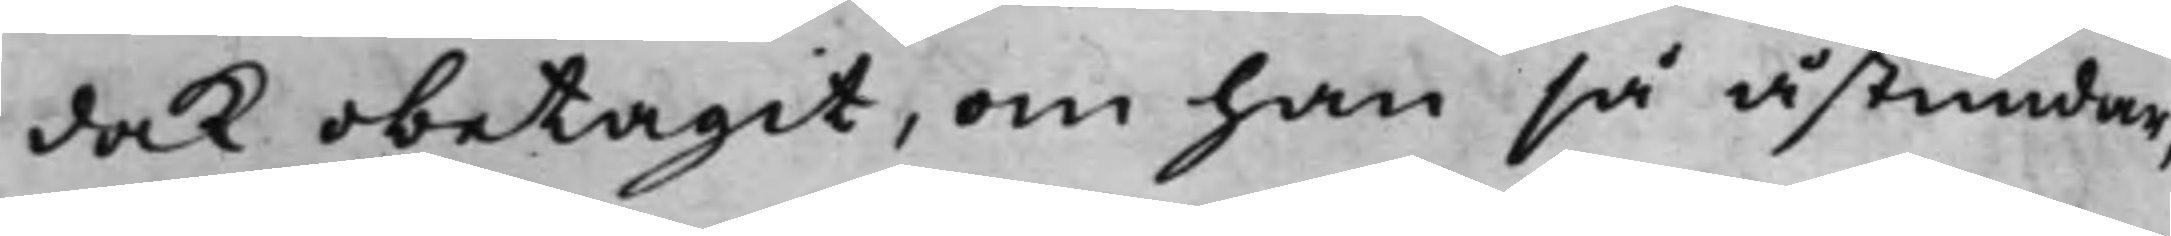dock obetagit, om han så åstundar,
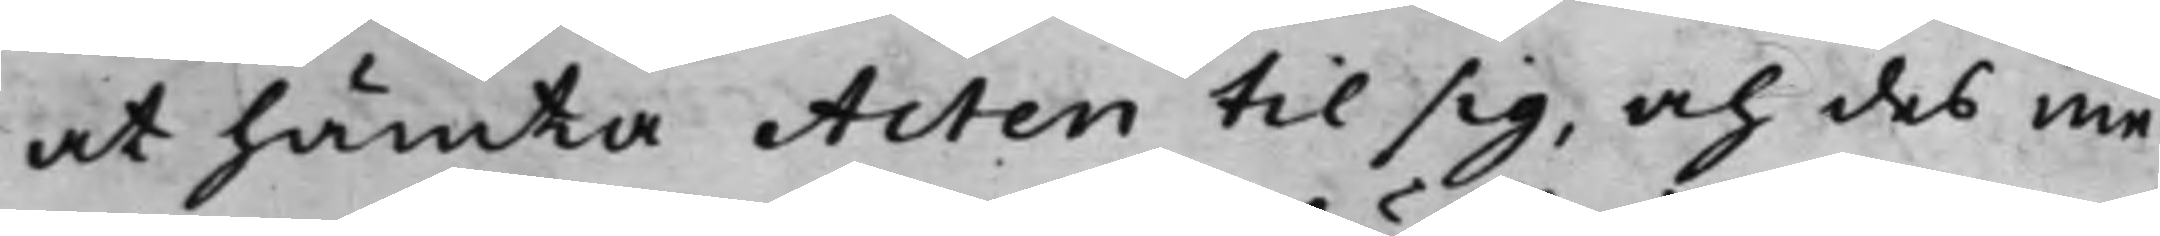at hämta Acten till sig, och des me¬
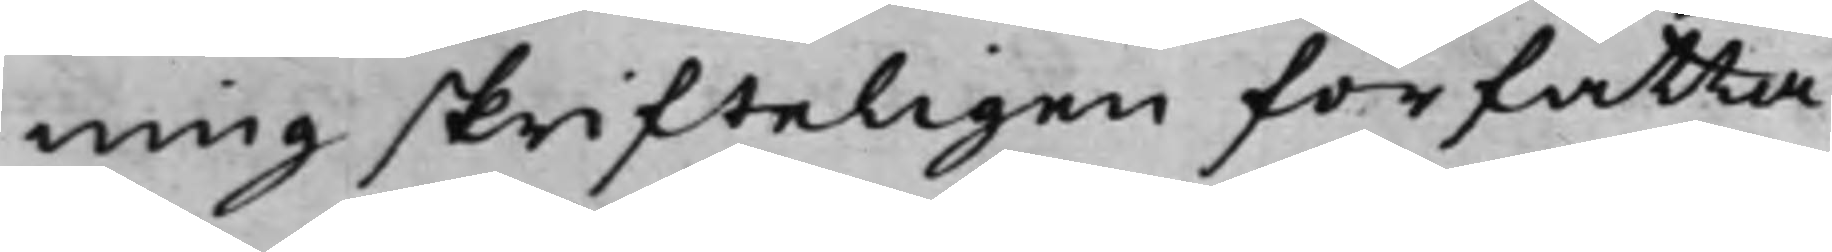ning skrifteligen författa.
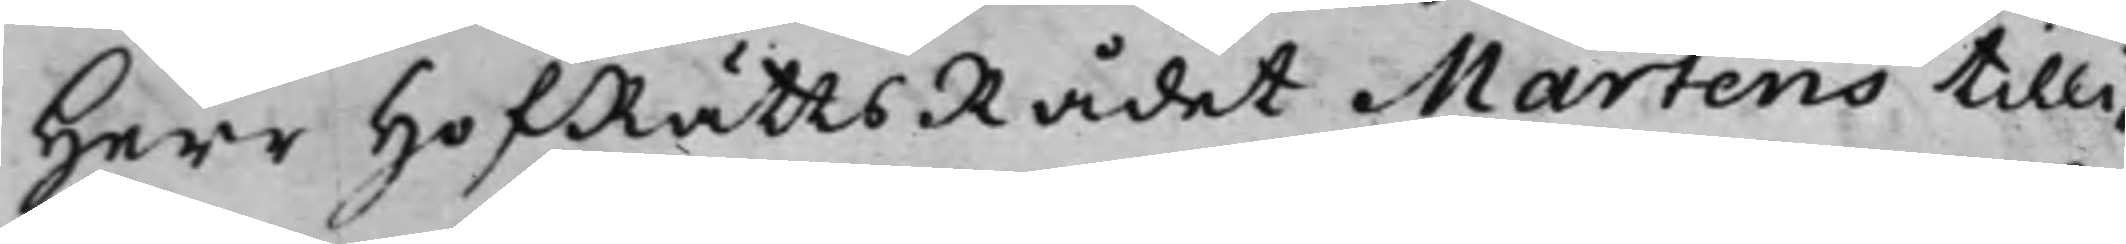Herr HofRättsRådet Martens tilli¬
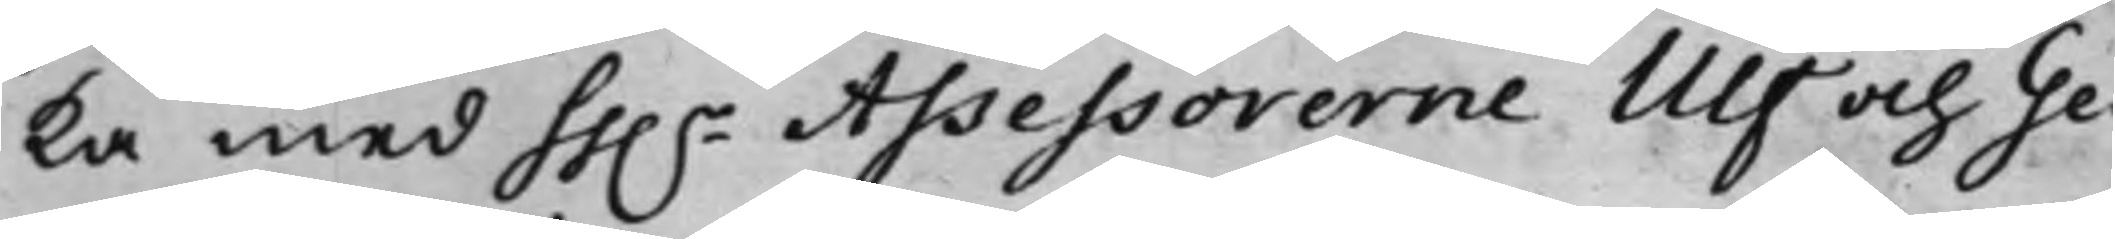ka med hh.r Assessorerne Ulf och Ge¬
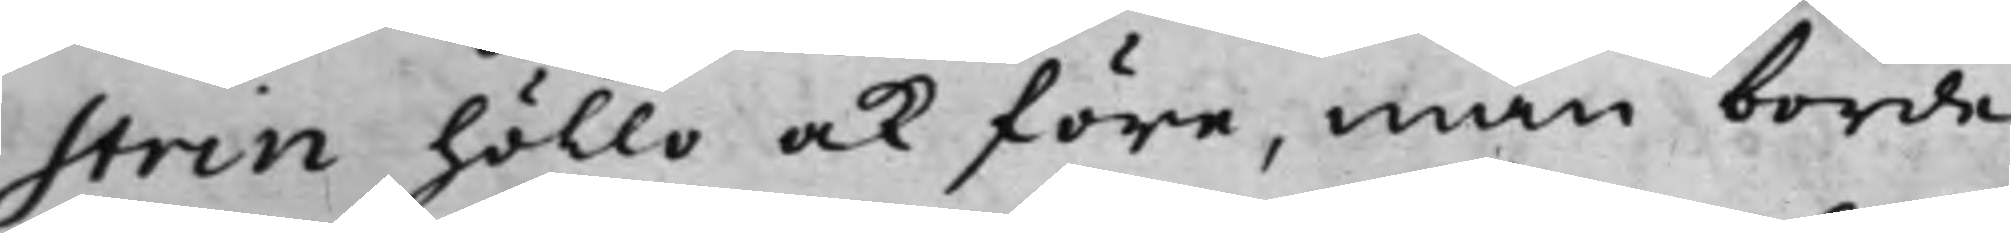strin höllo ock före, man borde
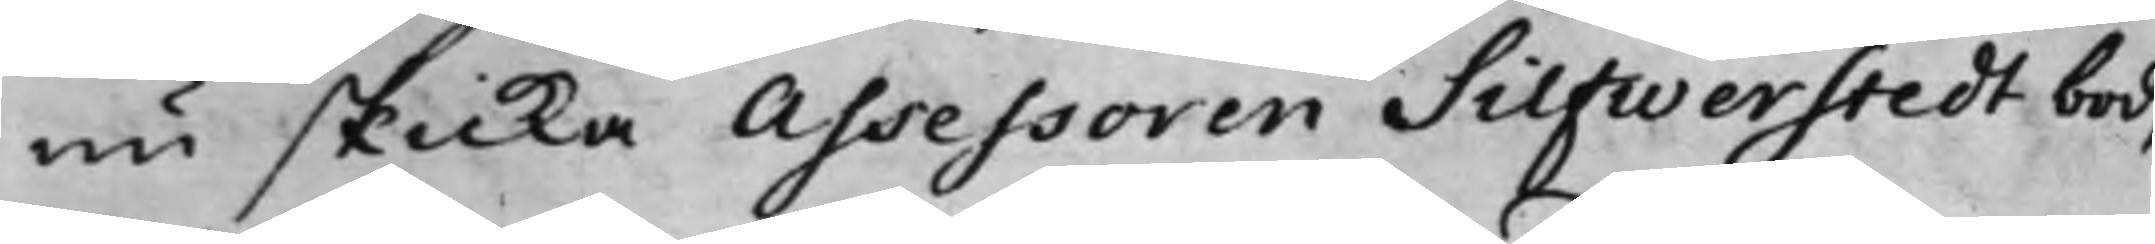nu skicka Assessoren Silfwerstedt bud,
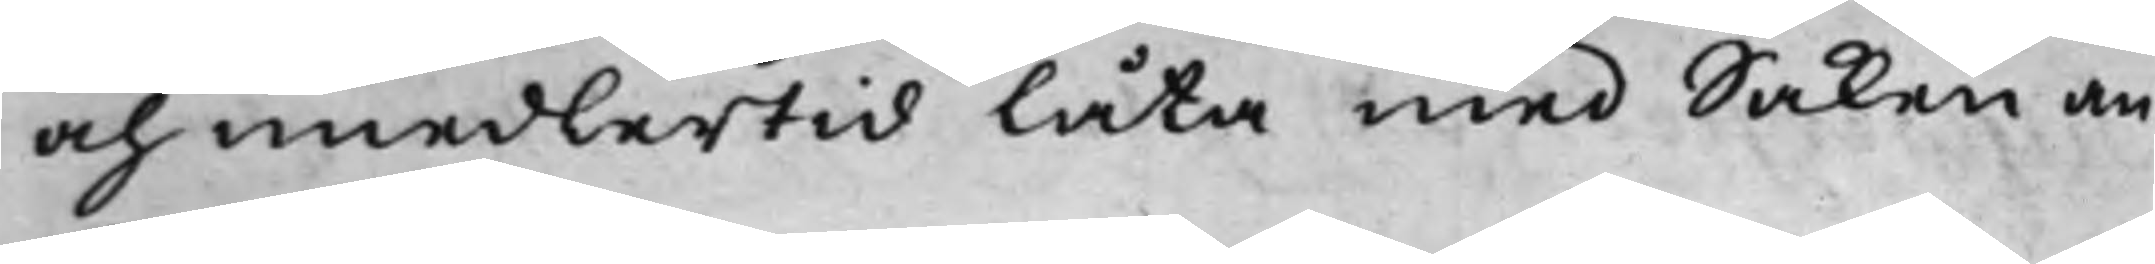och imedlertid låta med Saken an¬
